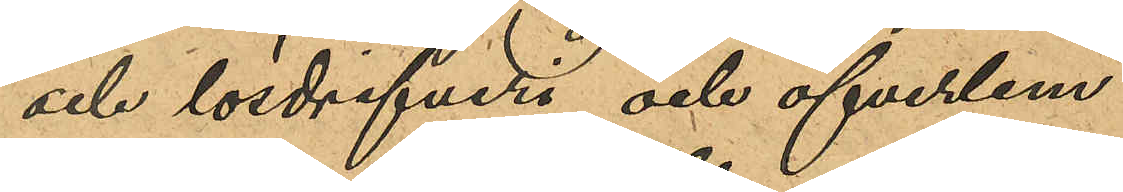och lösdrifveri och öfverlem¬
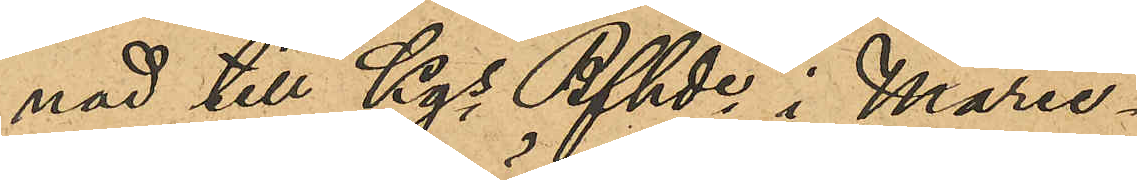nad till Kgs Bfhde i Marie¬
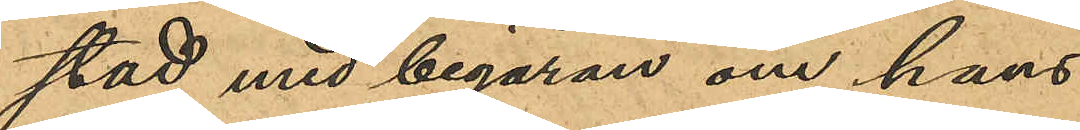stad med begäran om hans
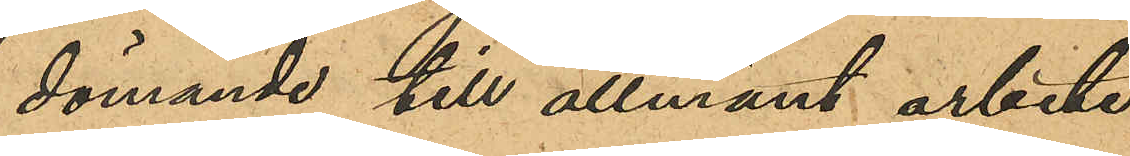dömande till allmänt arbete.
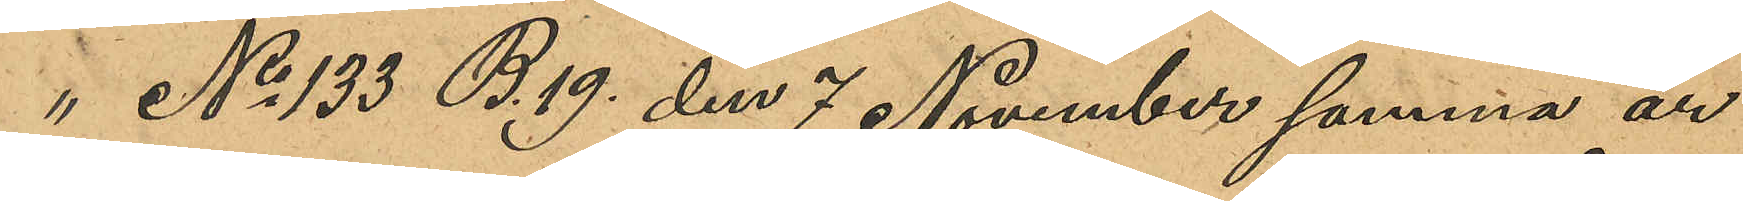" No 133 B.19 den 7 November samma år
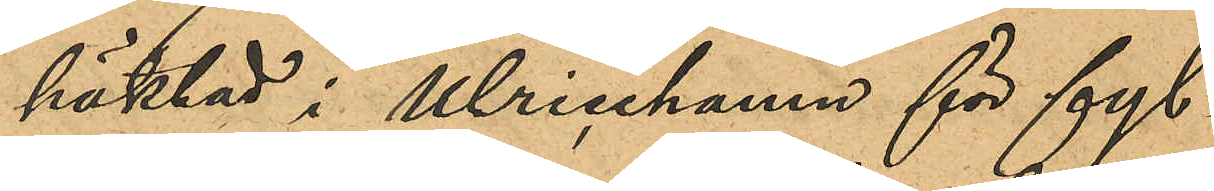häktad i Ulricehamn för fyl¬
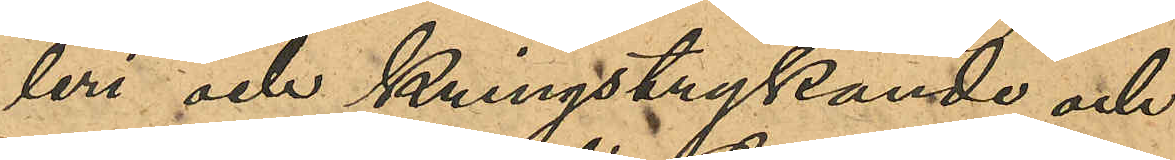leri och kringstrykande och
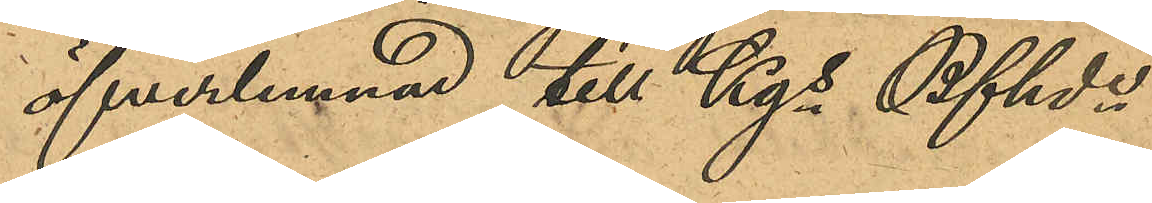öfverlemnad till Kgs Bfhde
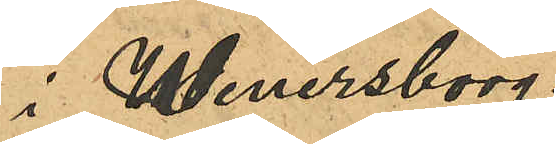i Wenersborg.
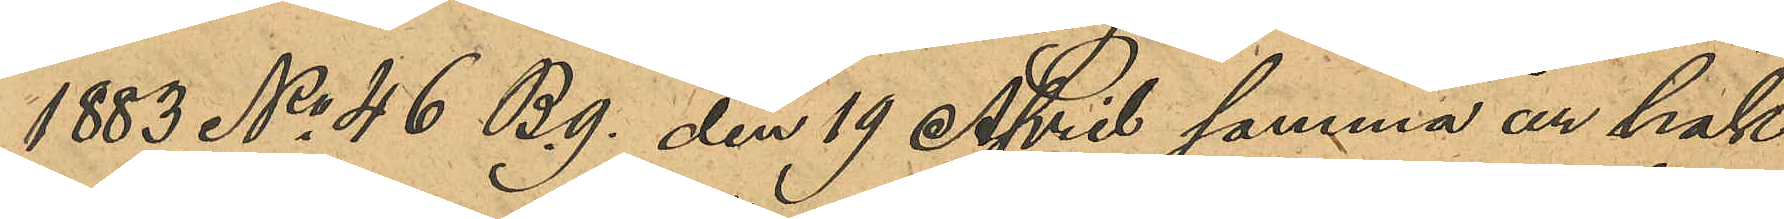1883 No 46 B.9 den 19 April samma år häk¬
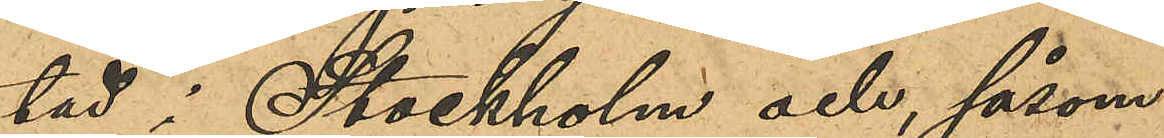tad i Stockholm och, såsom
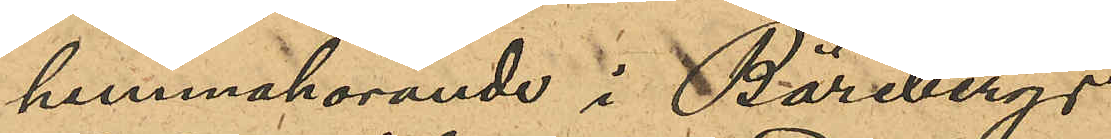hemmahörande i Bärebergs
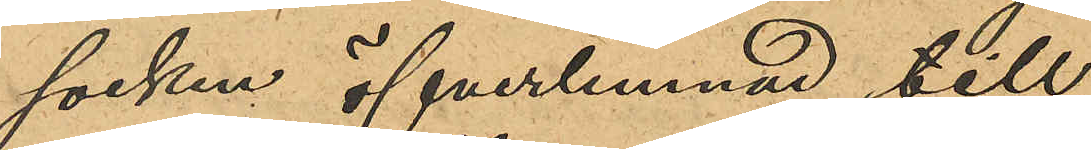socken öfverlemnad till
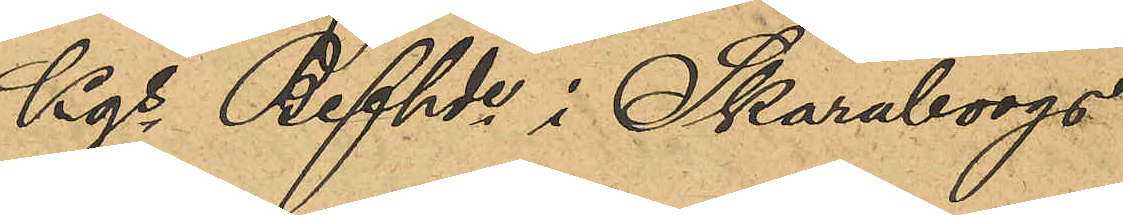Kgs Befhde i Skaraborgs
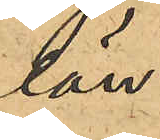län.
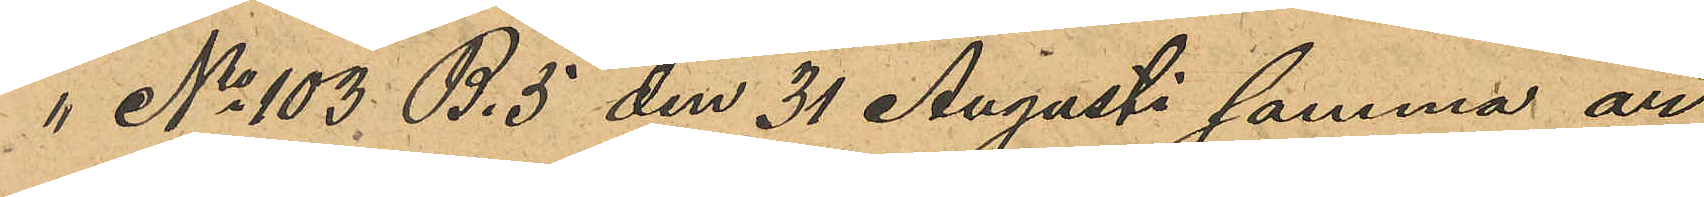" No 103 B.5 den 31 Augusti samma år
